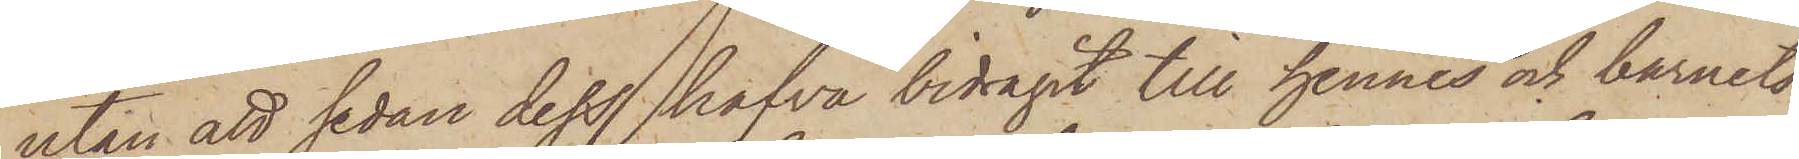utan att sedan dess hafva bidragit till hennes och barnets
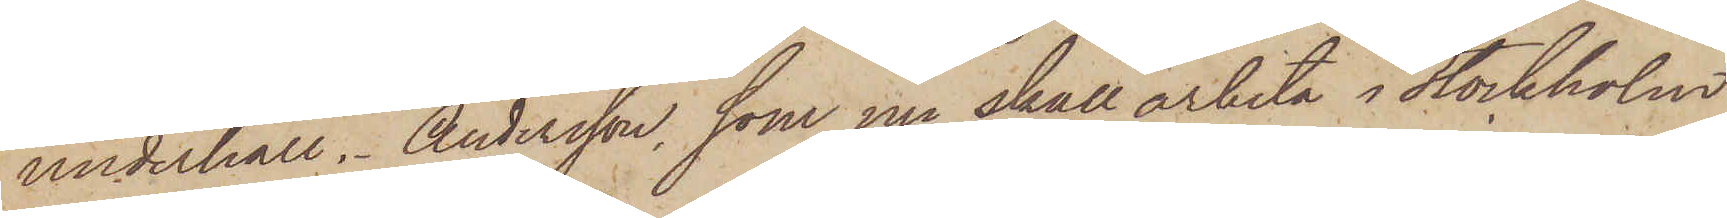underhåll. Andersson, som nu skall arbeta i Stockholm
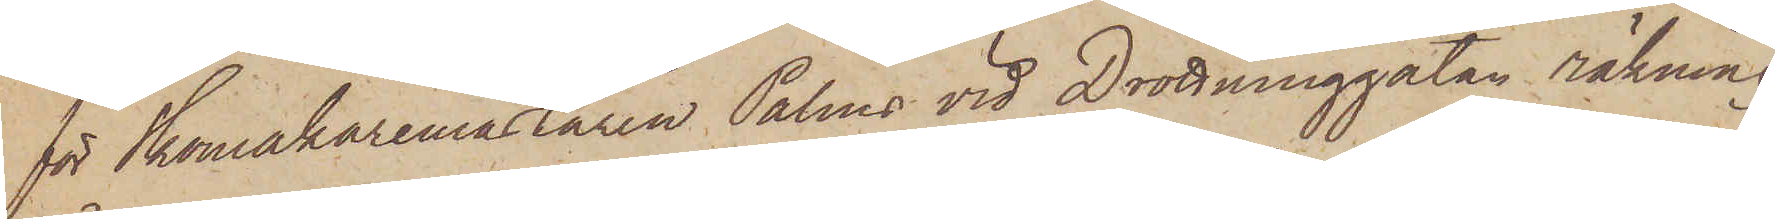för Skomakaremästaren Palms vid Drottninggatan räkning,
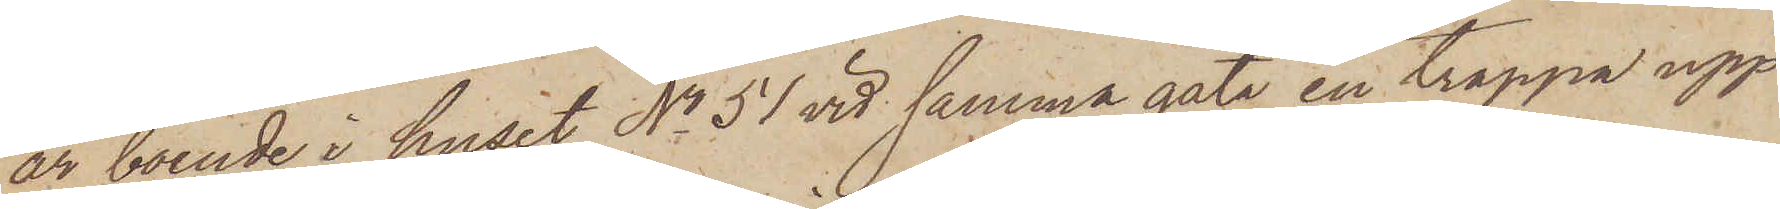är boende i huset No 51 vid samma gata en trappa upp
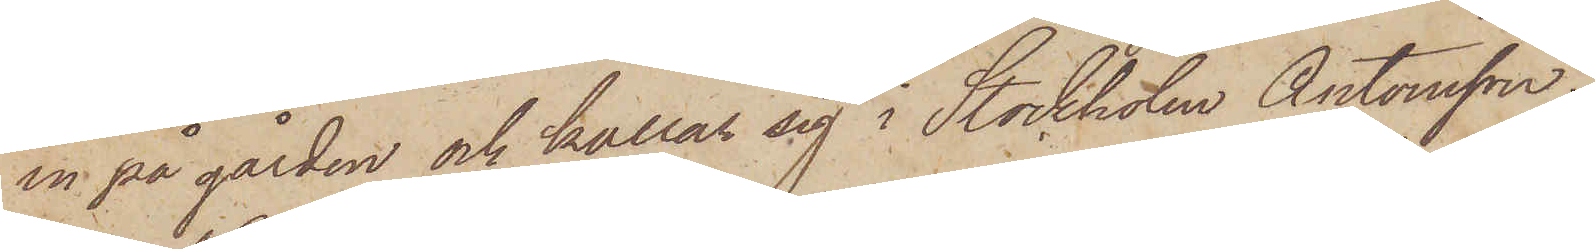in på gården och kallar sig i Stockholm Antonsson.
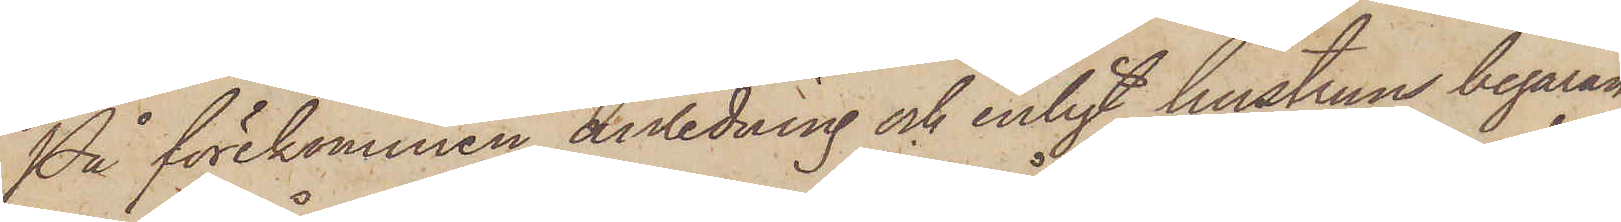På förekommen anledning och enligt hustruns begäran
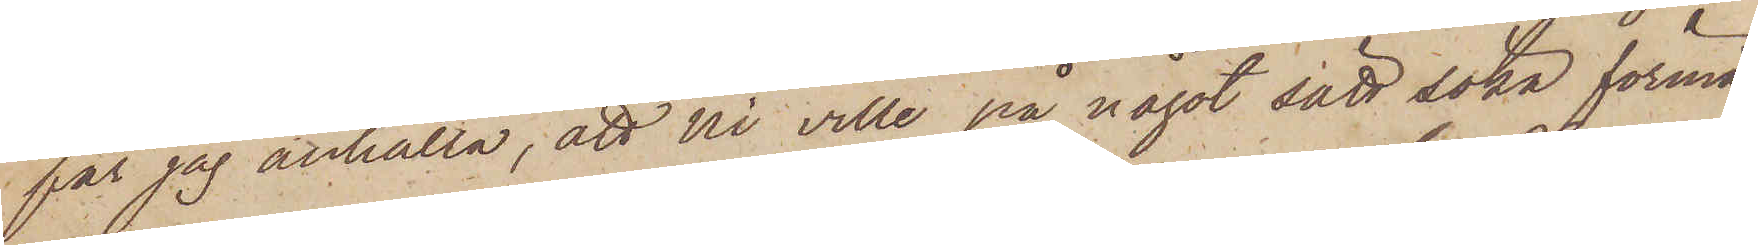får jag anhålla, att Ni ville på något sätt söka förmå
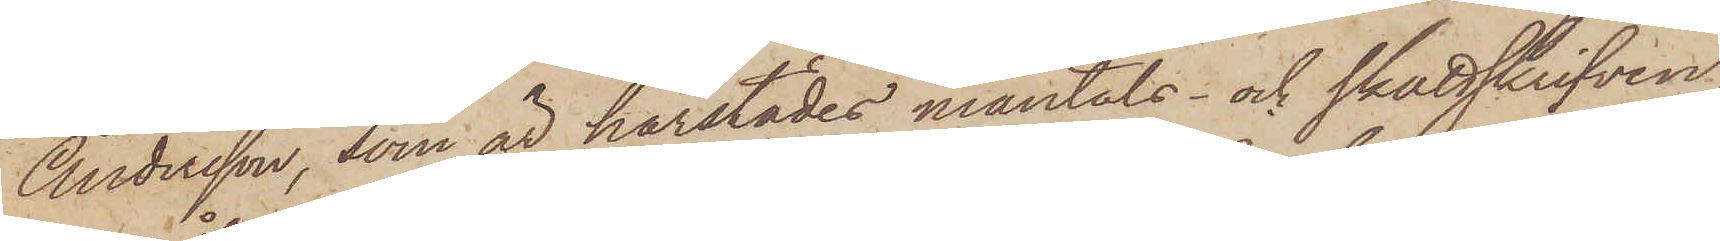Andersson, som är härstädes mantals- och skattskrifven,
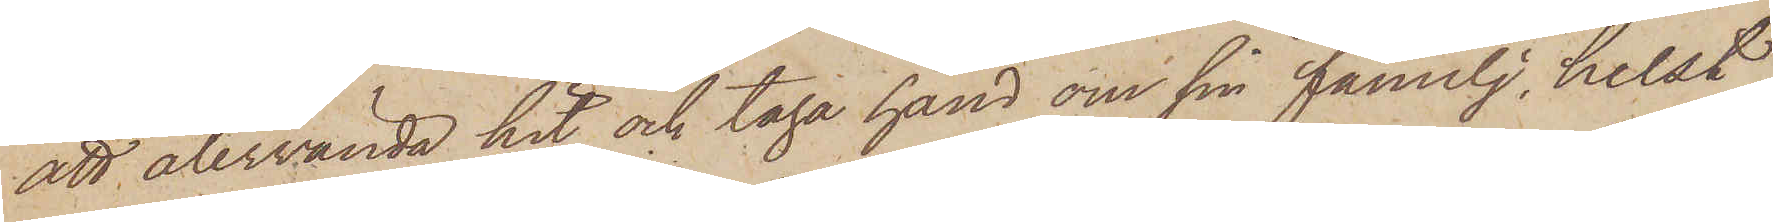att återvända hit och taga hand om sin familj, helst
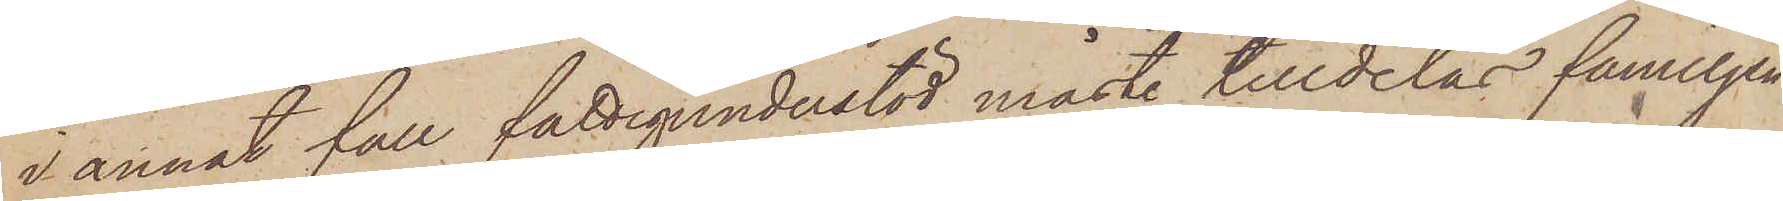i annat fall fattigunderstöd måste tilldelas familjen
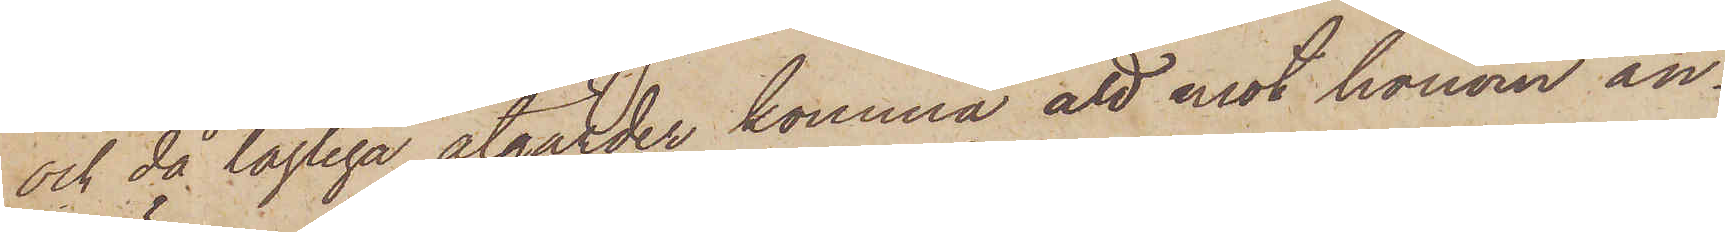och då lagliga åtgärder komma att mot honom an¬
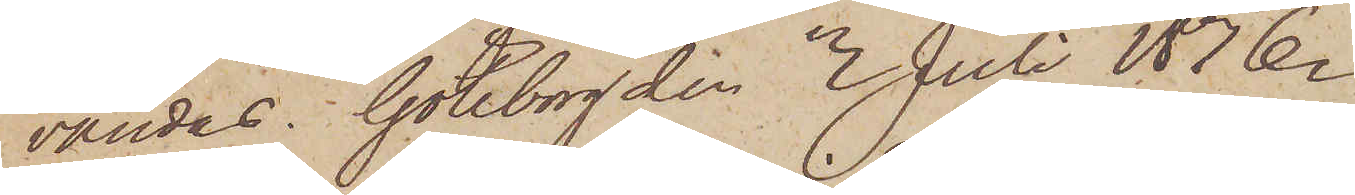vändas. Göteborg den 3 Juli 1876.
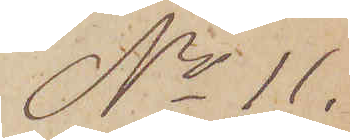No 11.
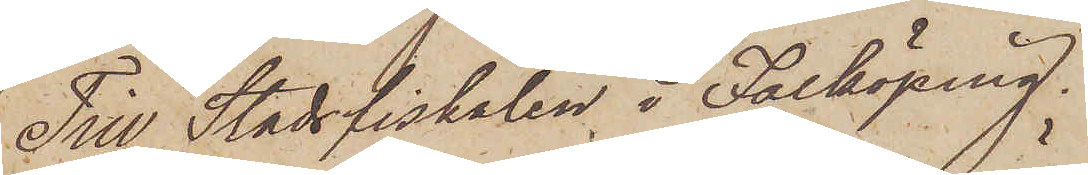Till Stadsfiskalen i Falköping.
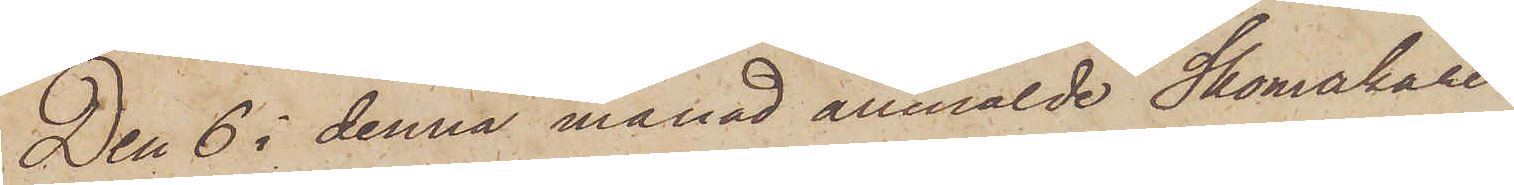Den 6 i denna månad anmälde Skomakaren
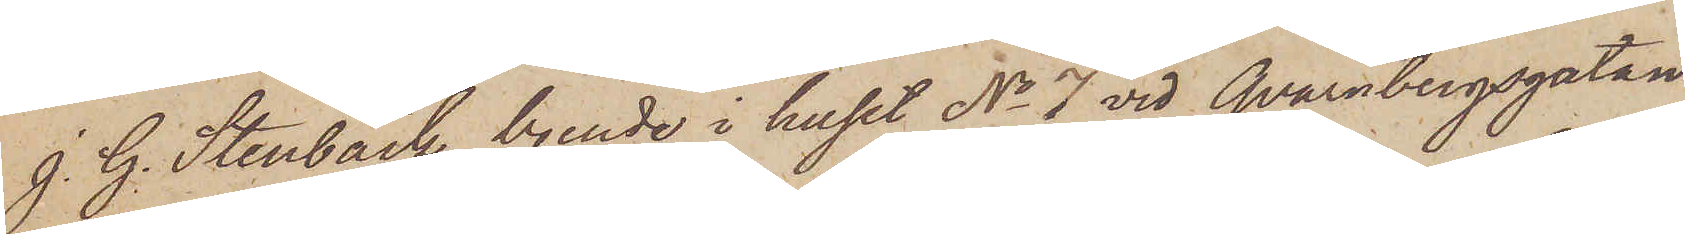J. G. Stenbäck, boende i huset No 7 vid Qvarnbergsgatan
